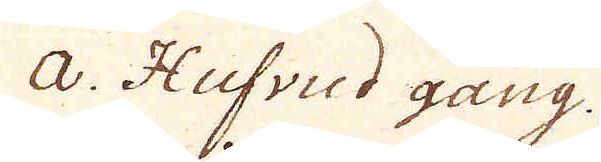a. Hufvud gång.
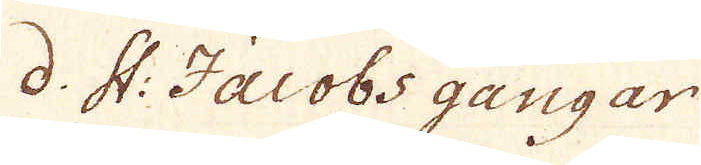d. St: Jacobs gångar
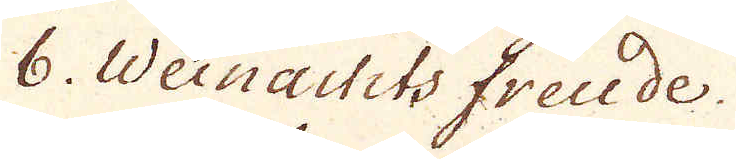6. Weinachts freude.
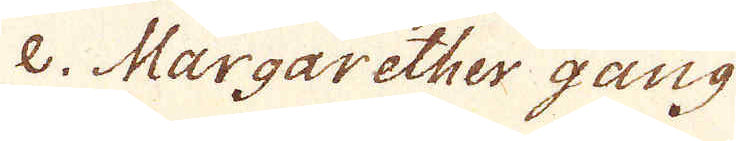e. Margarether gang
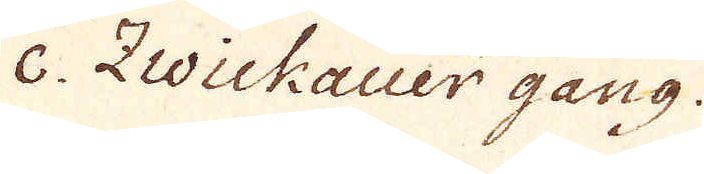c. Zwickauer gang.
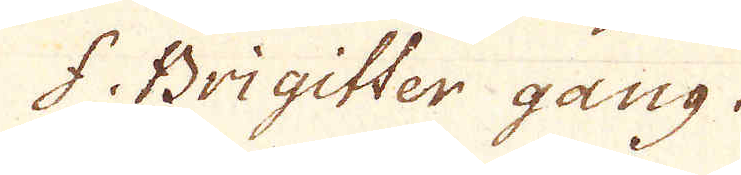f. Brigitter gang.
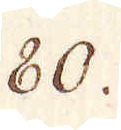80.
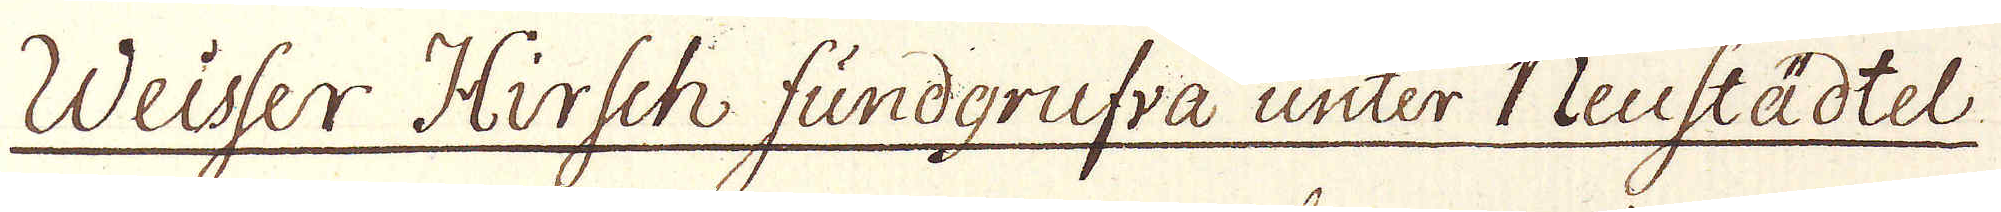Weisser Hirsch fundgrufva unter Neustädtel
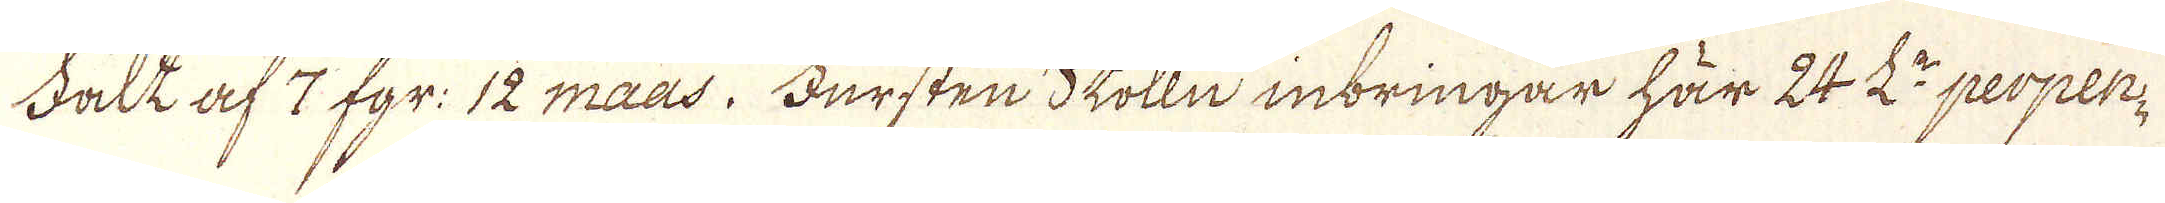Fält af 7 fgr: 12 maas. Fursten Stolln inbringar här 24 L:r perpen-
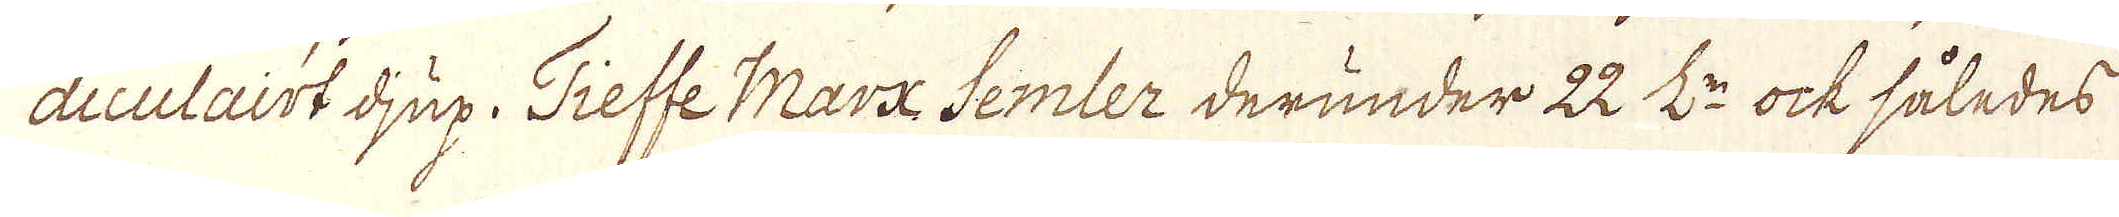diculairt djup. Tieffe Marx Semler derunder 22 L:r ock således
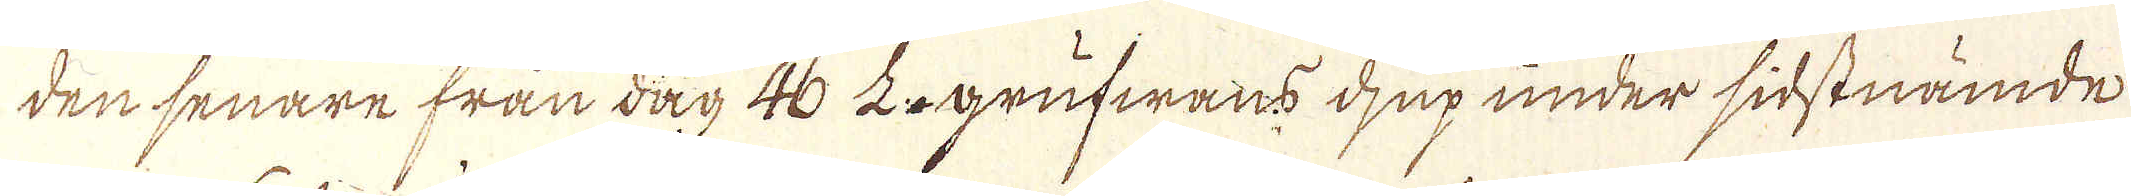den senare från dag 46 L:r grufwans djup under sidstnämde
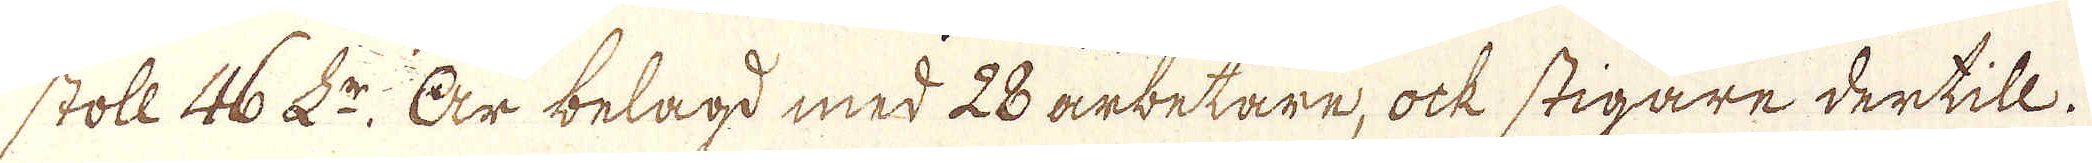stoll 46 L:r Är belagd med 28 arbetare, ock stigare dertill.
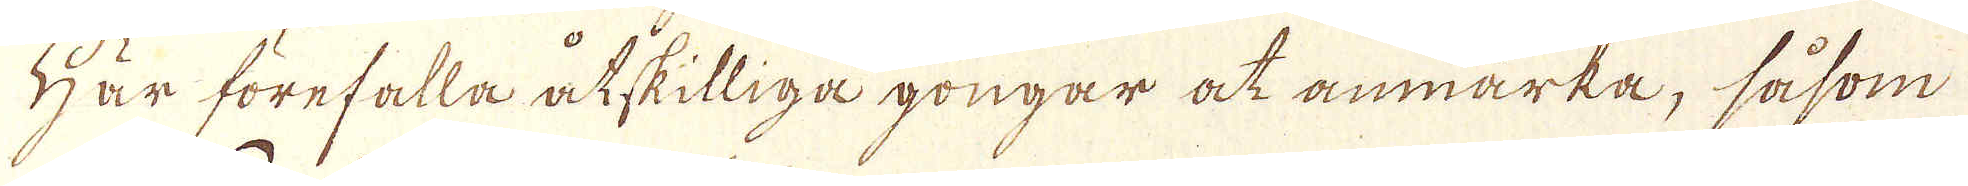Här förefalla åtskilliga gongar at anmärka, såsom
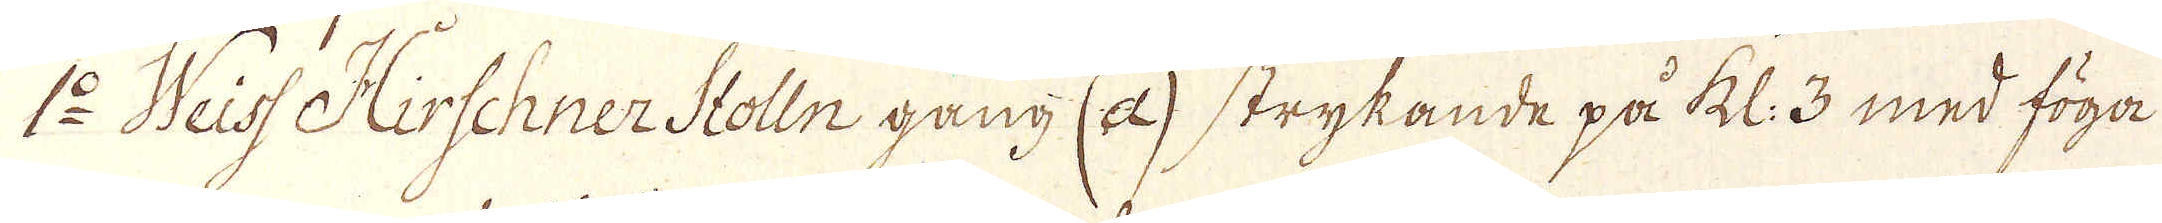1:o Weiss Hirschner Stolln gång (a) strykande på kl: 3 med föga
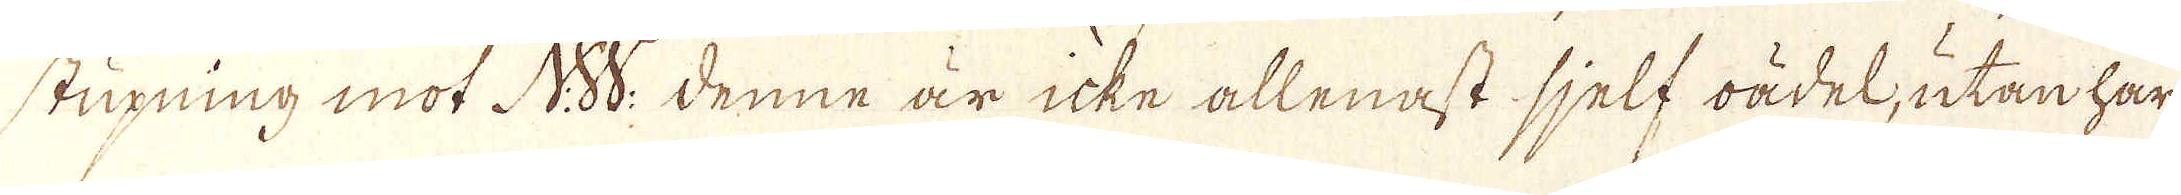stupning mot N:W. Denne är icke allenast sjelf oädel, utan har
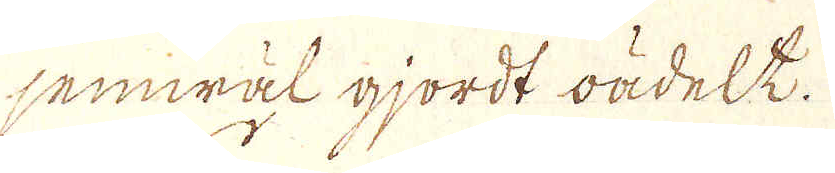jemwäl gjordt oädel.
